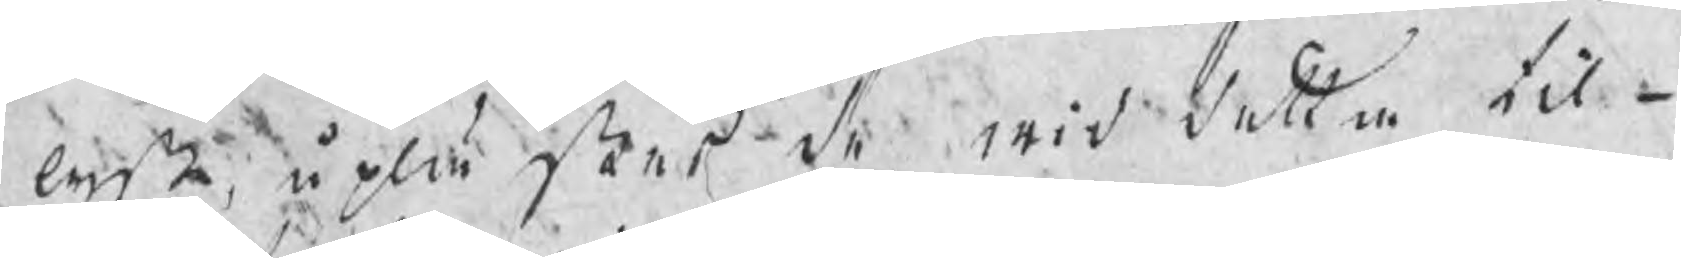lyste, uplästes de wid detta til¬
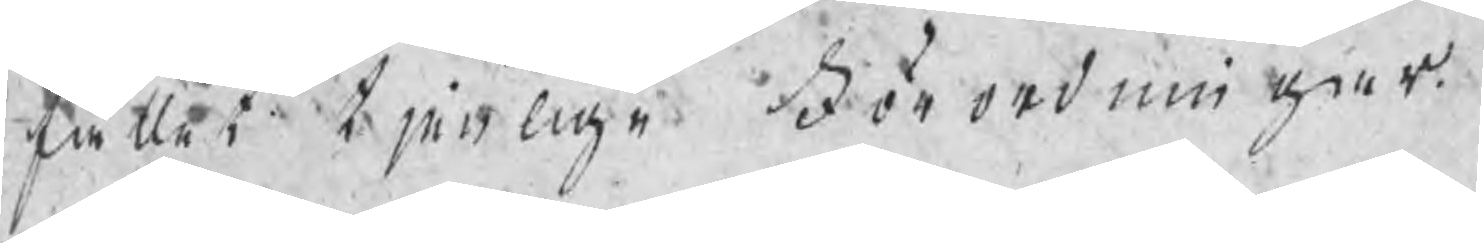fället tjenlige Förordningar.
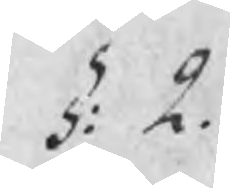§: 2.
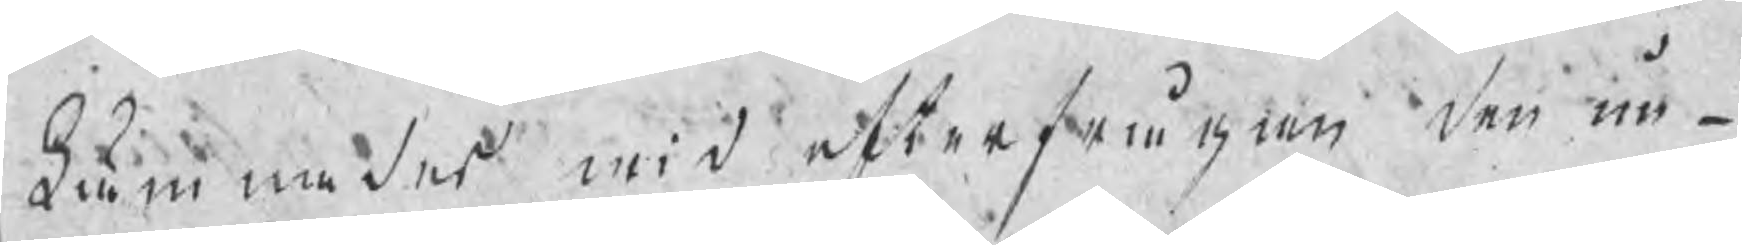Lämnades wid efterfrågan den un¬
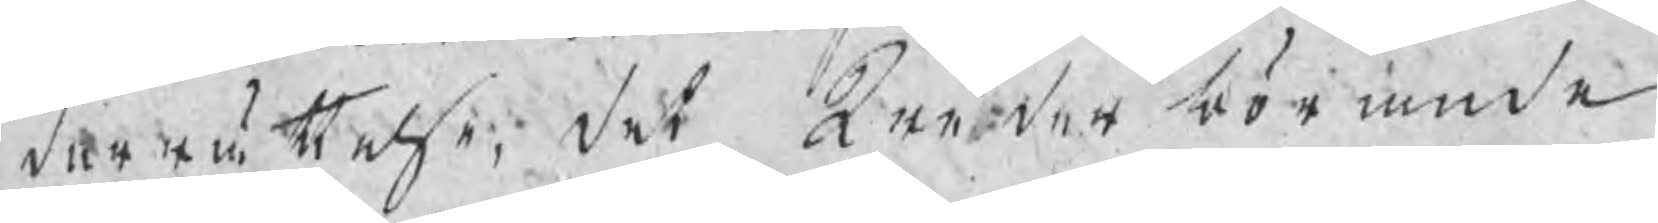derrättelse, det Wederbörande
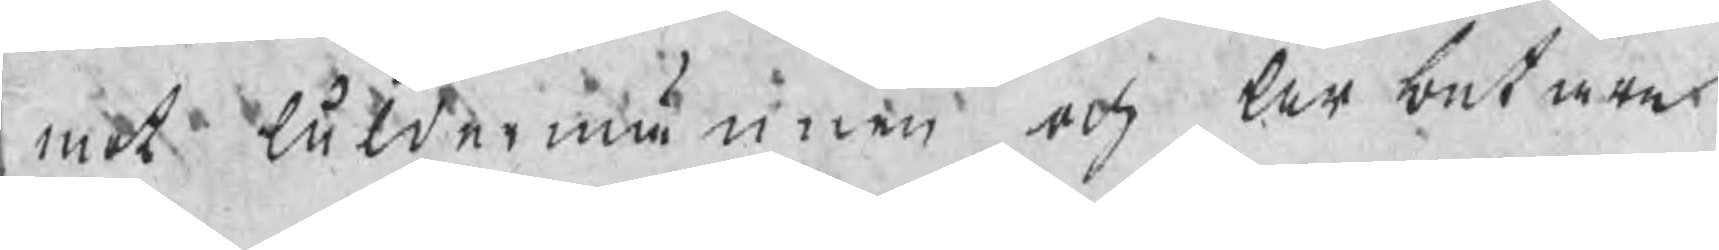mot Åldermännen och Arbetare
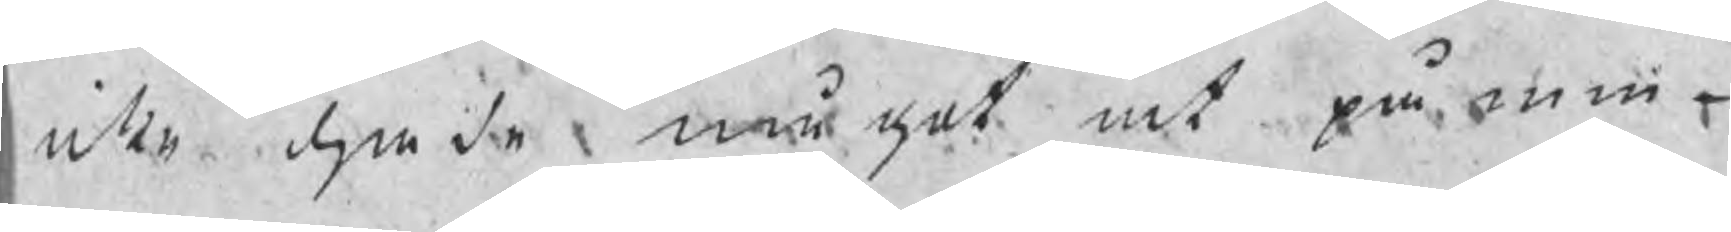icke hade något at påmin¬
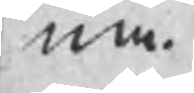na.
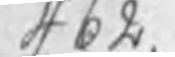462.
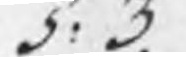§: 3.
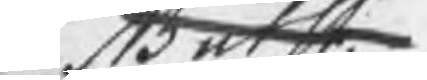NB utsl.
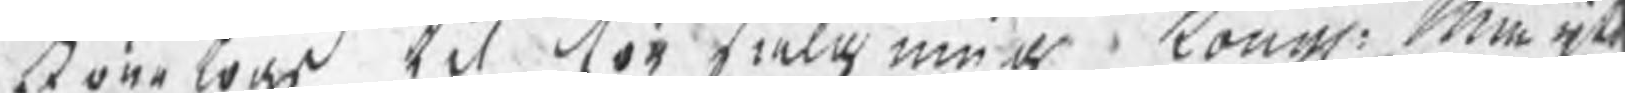Företogs til försälgning Kongl: Maijts
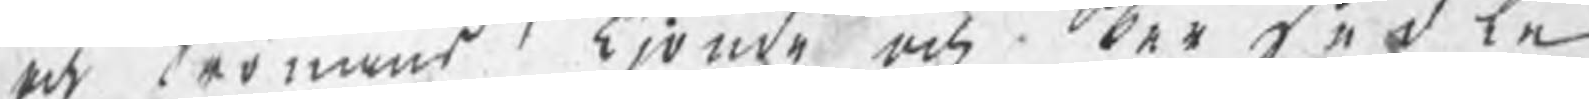och Cronans Tjonde och Persedle
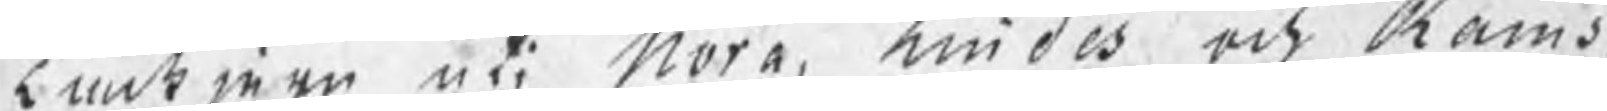tackjern uti Nora, Lindes och Rams¬
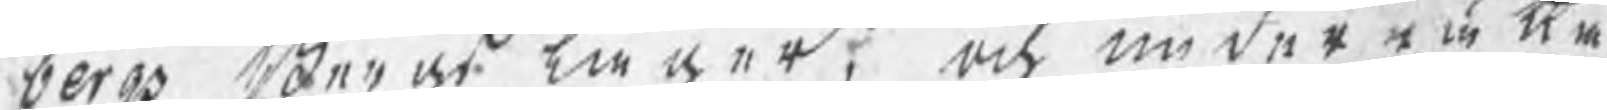bergs Bergslager, och underrätta¬
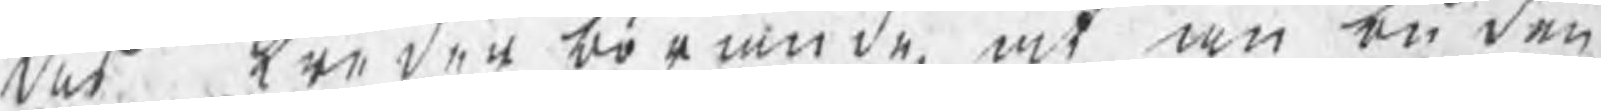des wederbörande, at anbuden
